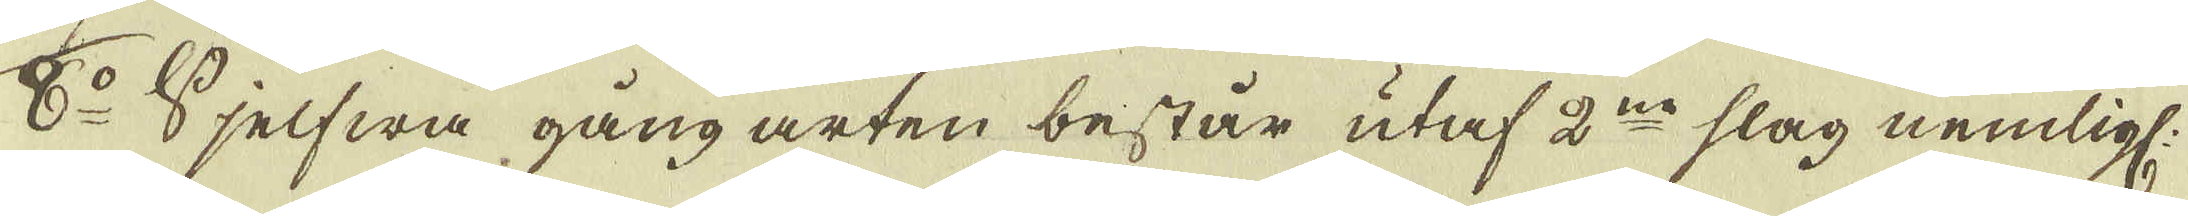8:o Sjelfwa gång arten består utaf 2:ne slag nemlig:
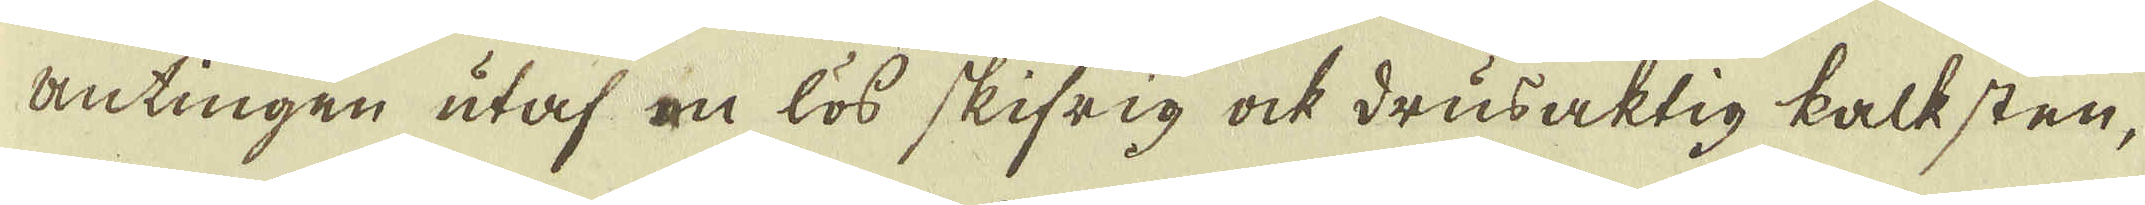antingen utaf en lös skifrig ock drusaktig kalksten,
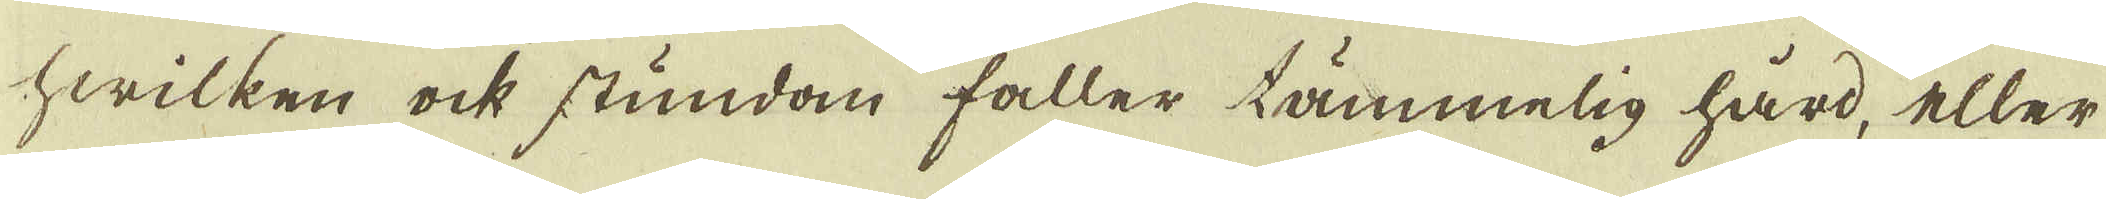hwilken ock stundom faller tämmelig hård, eller
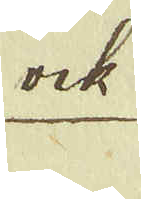ock
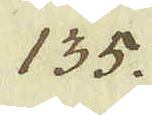135. 
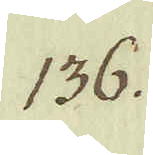136.
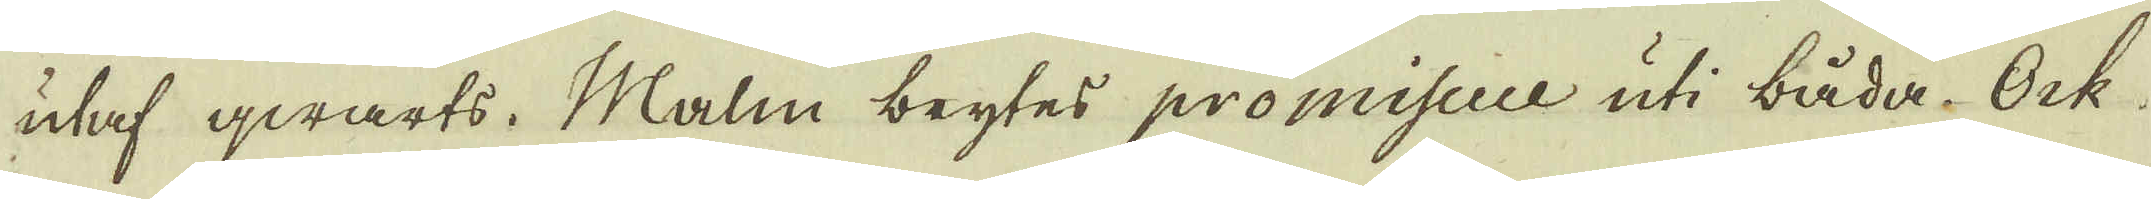utaf qwarts. Malm brytes promiscice uti båda. Ock
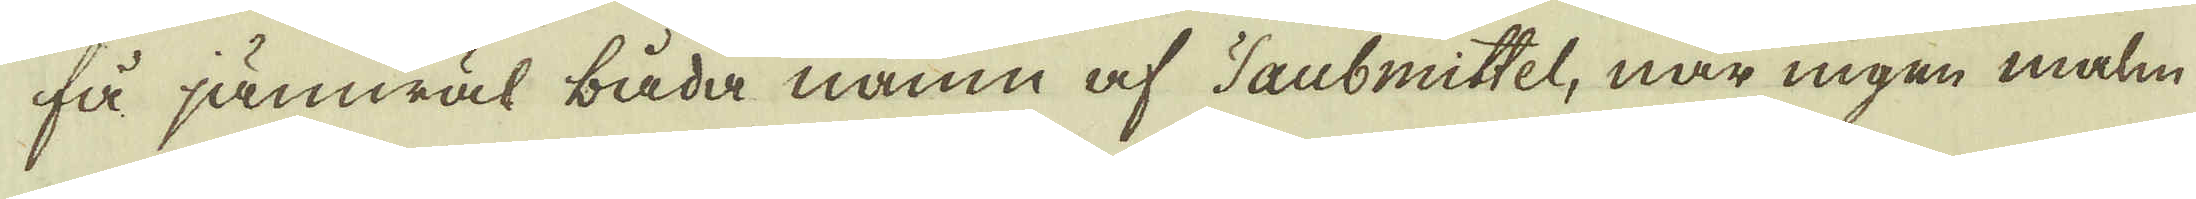få jämwäl båda namn af Taubmittel, när ingen malm
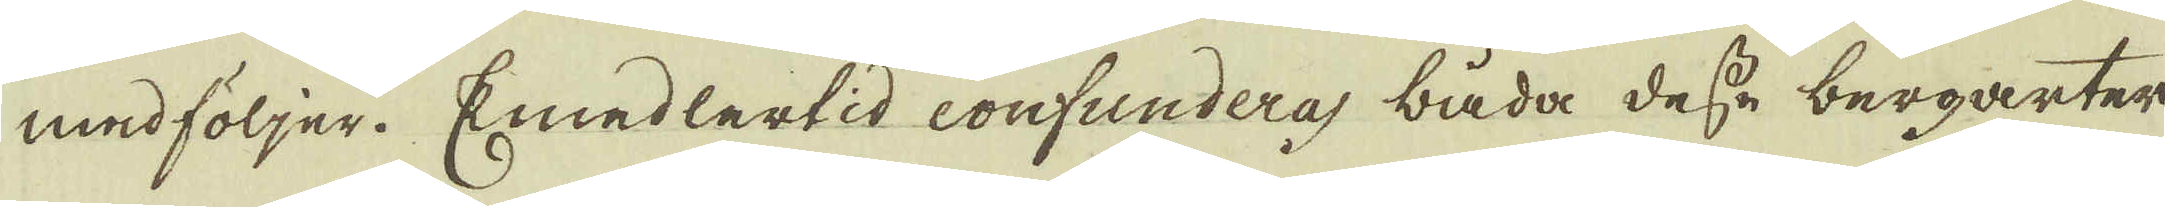medföljer. Emedlertid confundera båda desse bergarter
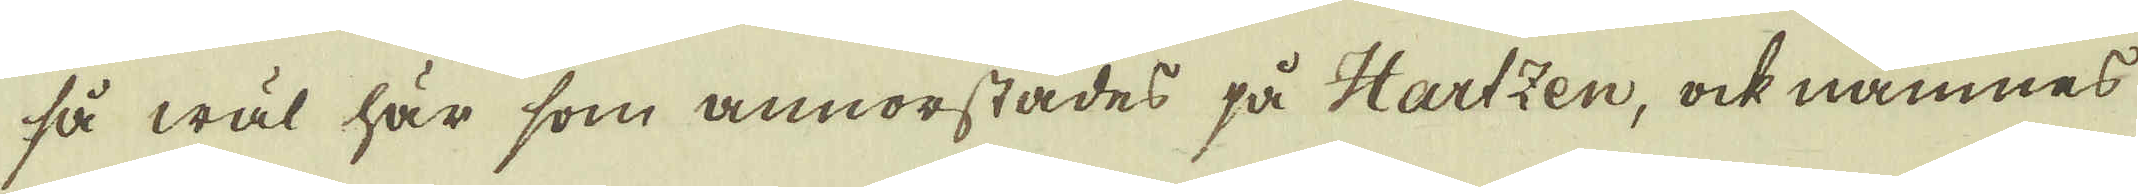så wäl här som annorstädes på Hartzen, ock nämnes
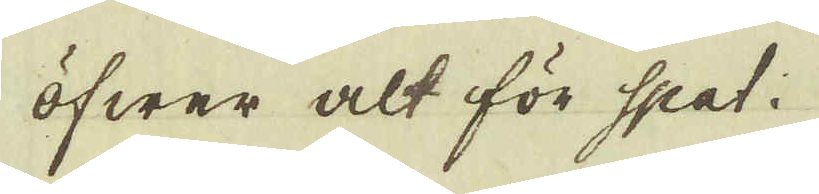öfwer alt för spat.
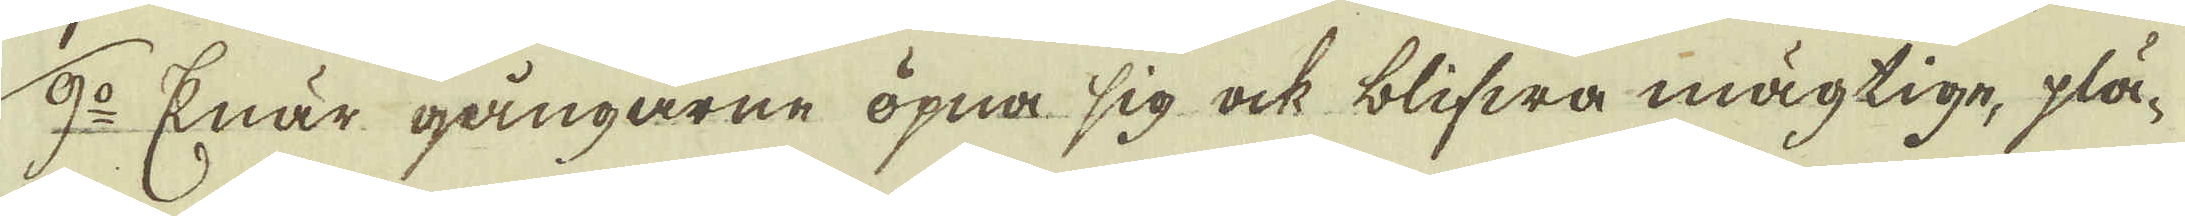9:o Enär gångarne öpna sig ock blifwa mägtige, plä-
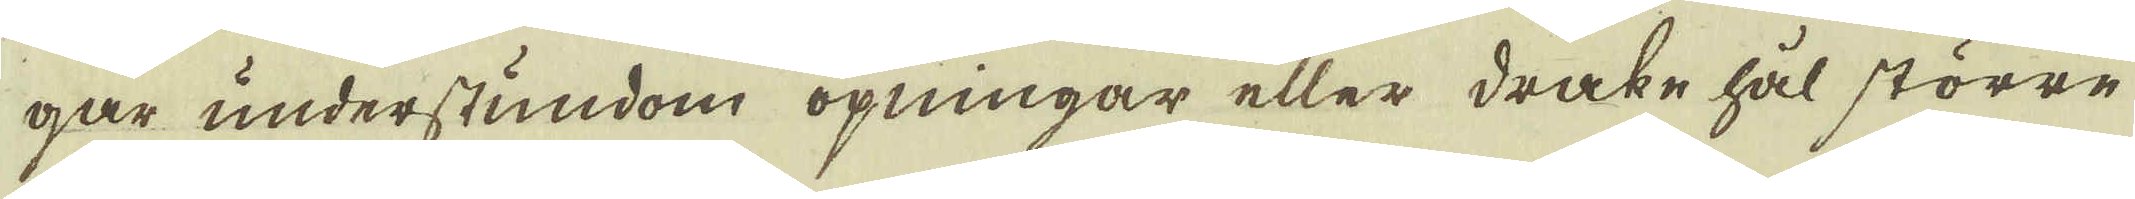gar understundom öpningar eller drake hål större
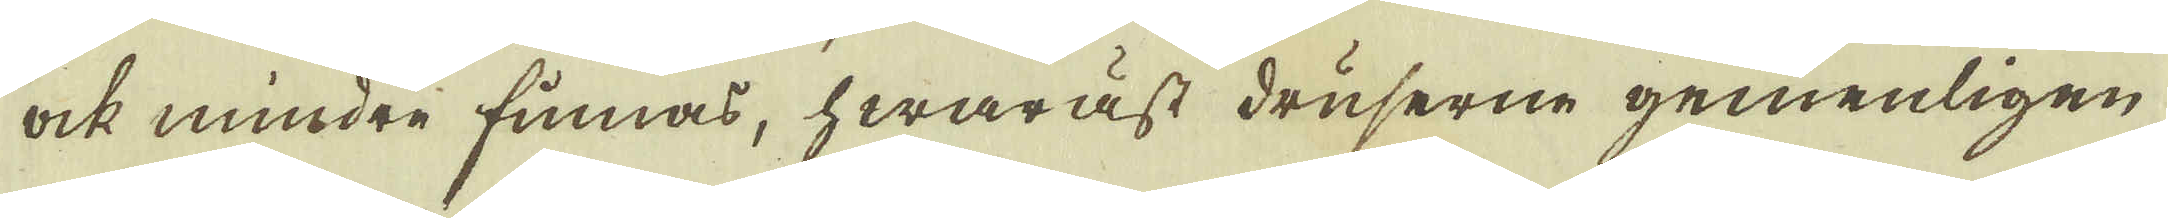ock mindre finnas, hwaräst druserne gemenligen
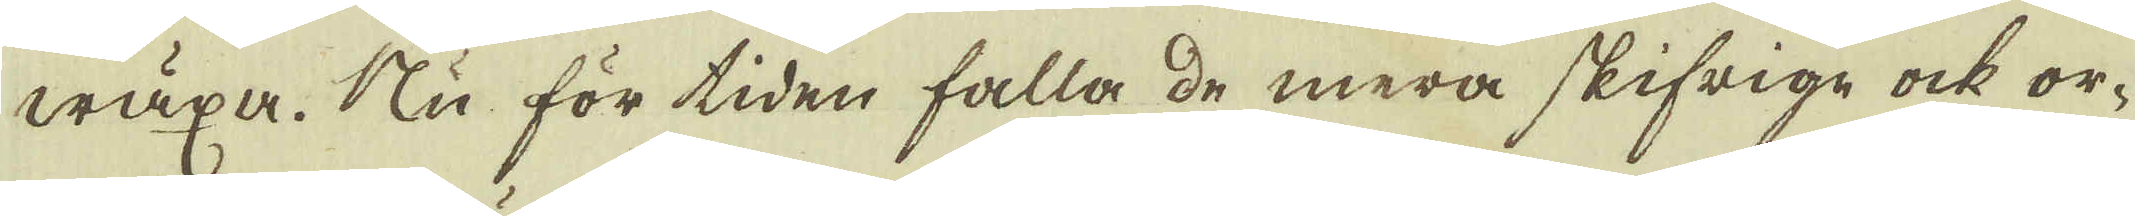wäxa. Nu för tiden falla de mera skifrige ock or-
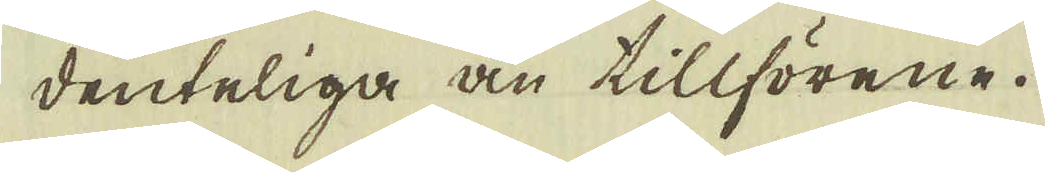denteliga än tillförene.
